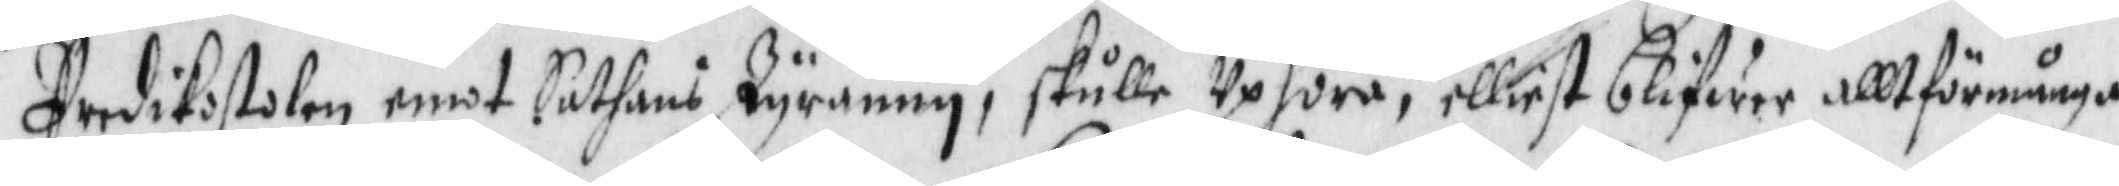Predikostolen emot Sathans Tyranery, skulle Uphöra, ellisest blifwer allt för många
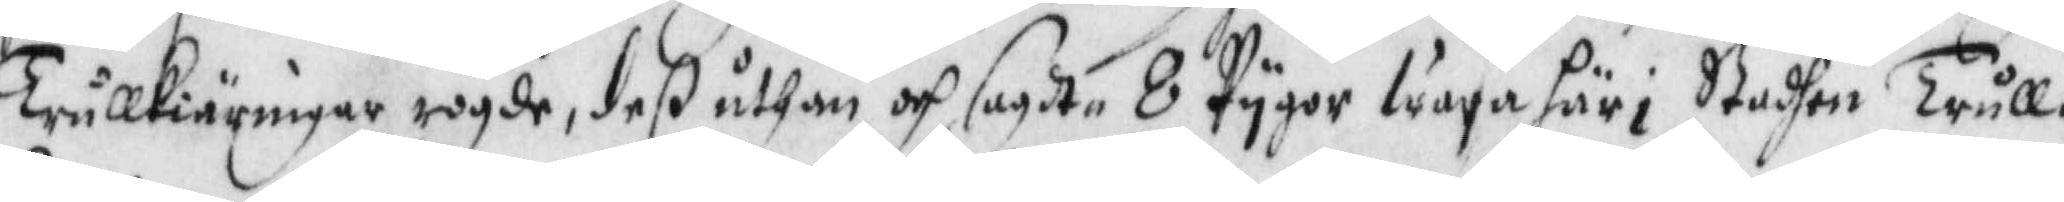Trullkiäringar rögde, deßuthan och sagdt 8 Pygor wara här i Stadhen trull¬
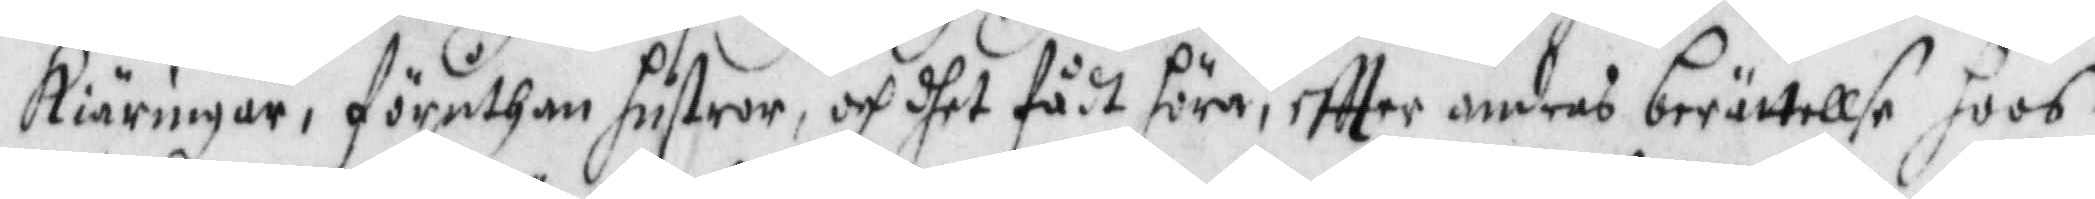kiäringar, föruthan hustror, och dhet fådt höra, eftter andras berättelse, hoos
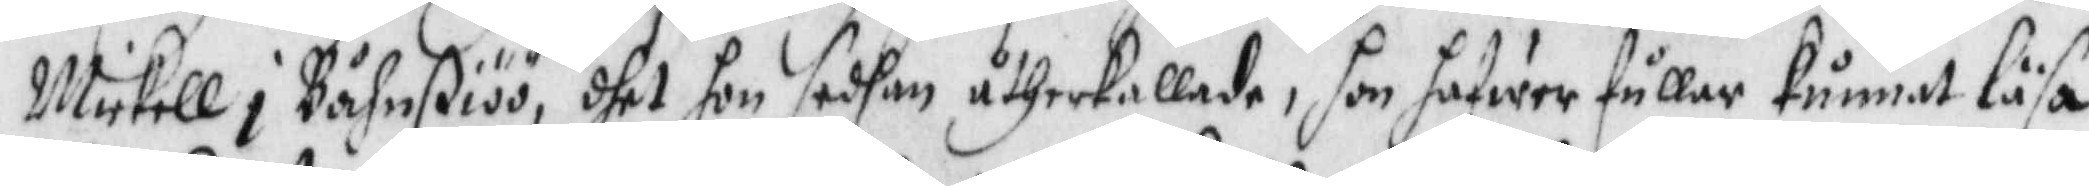Mickell i Båhrßiöö, dhet hon sedhan åtherkallade, hom hafwer fuller kunnat läsa
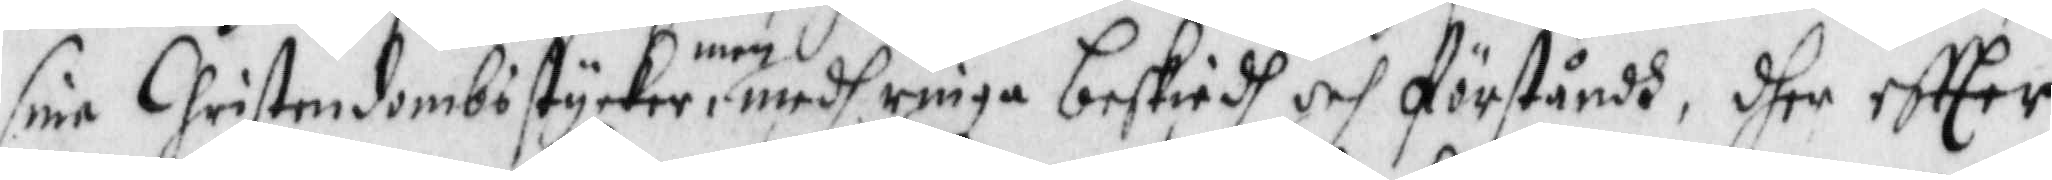sine Christendombs stycker men medh ringa beskiedh och förståndh, dhet eftter
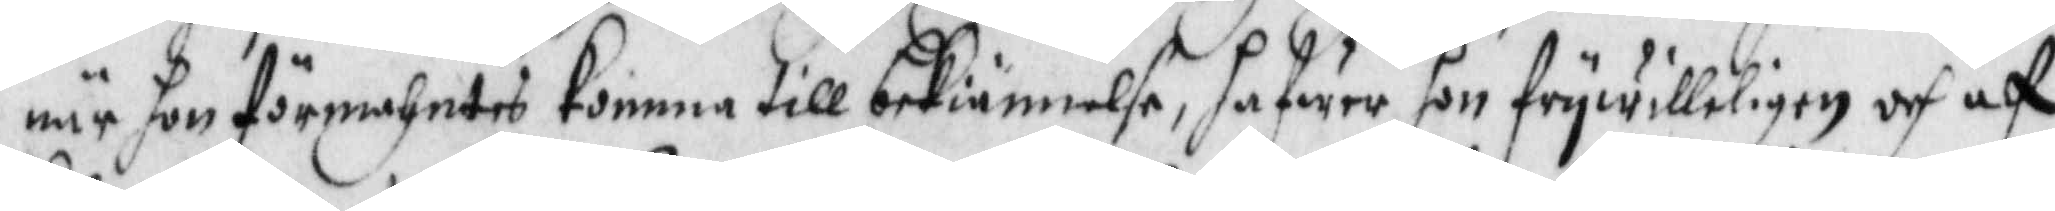när hon förmahntes komma till bekiännelse, hafwer hon frywilligen och af
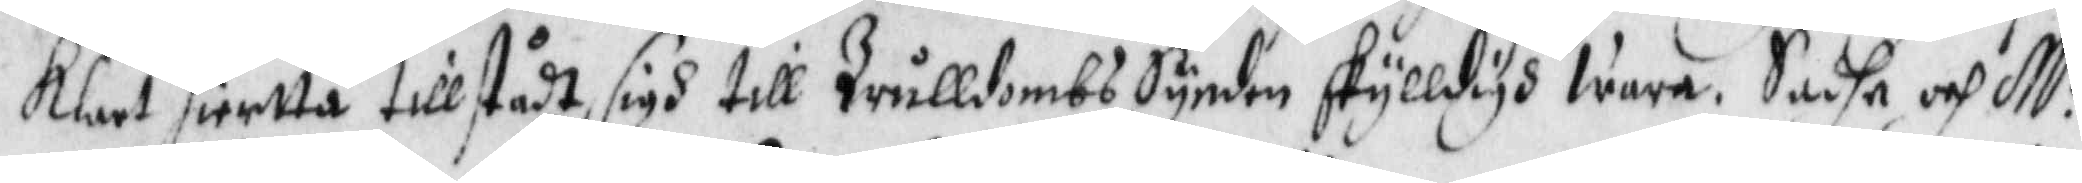klart hiertta tillstådt sigh till Trulldobs Synden skylldigh wara. Sadhe och M:r
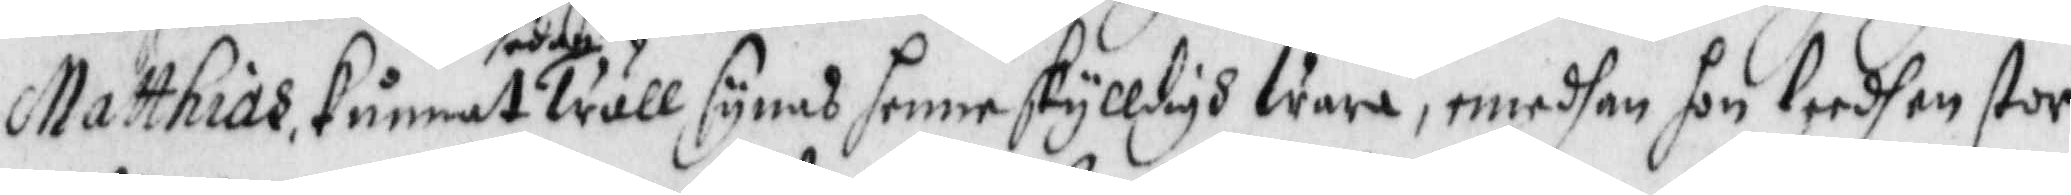Matthias kunnat sedan trull synas henne skylldigh wara, emedhan hon leedh en stor
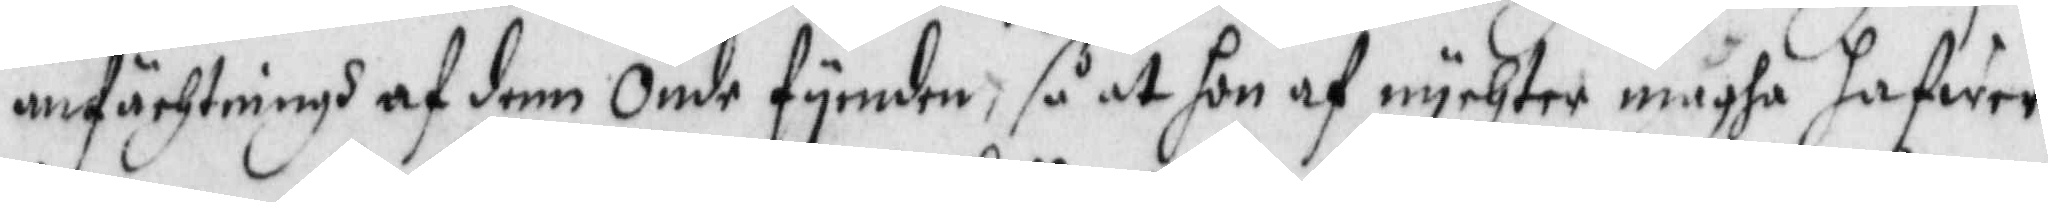anfächtningh af denn Onde fyenden, så at hon af nychter magha hafwer
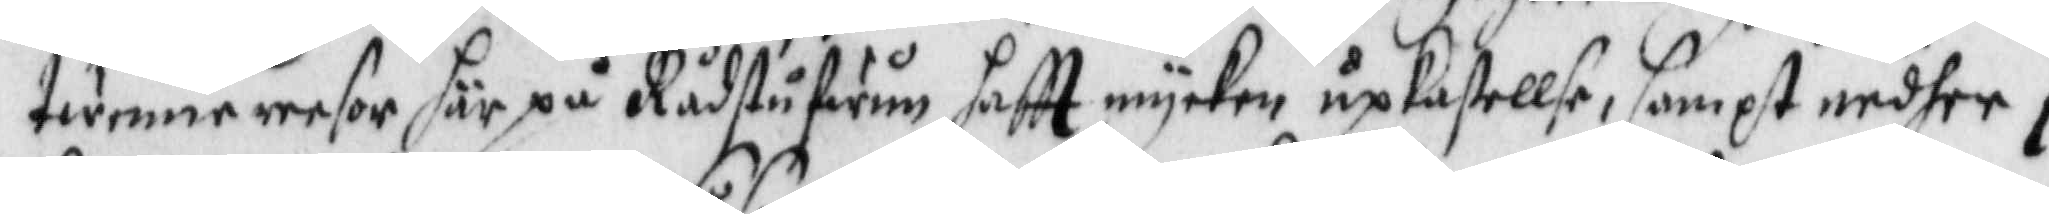twenne reesor här på Rådstufwum haftt mycken upkastellse, sampt nedher i
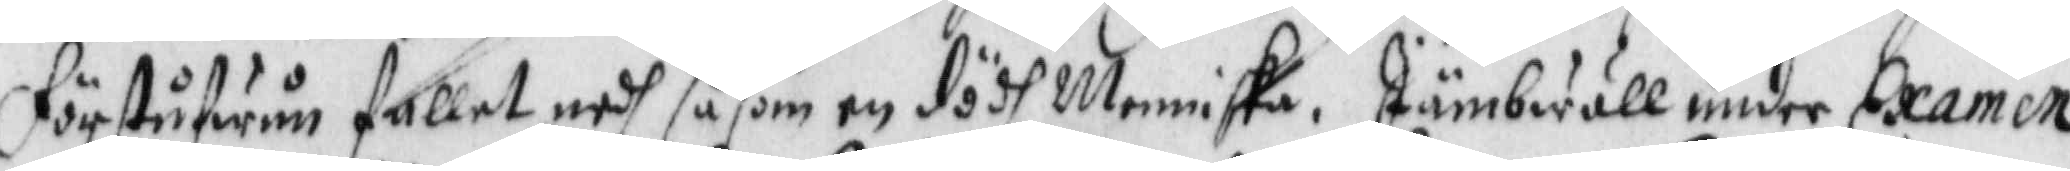förstufwun fallet nedh såsom en dödh Menniska. Jämbwäll under Examen
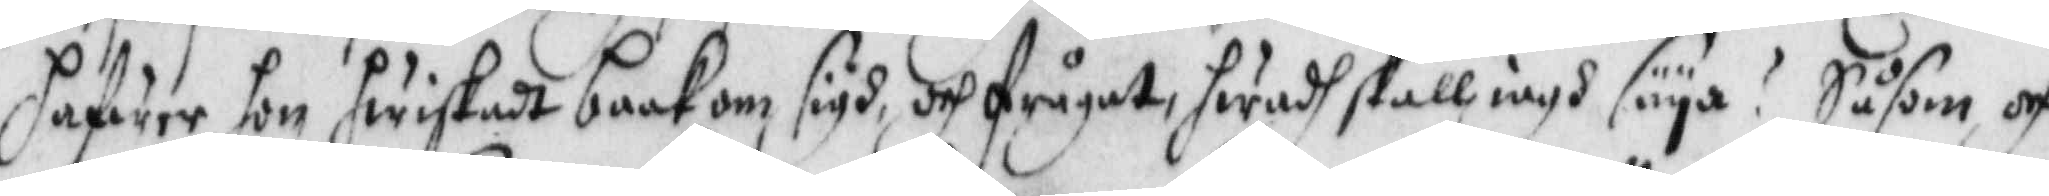hafwer hon hwiskadt baakom sigh, och frågadt, hwadh skall iagh säya? Såsom och
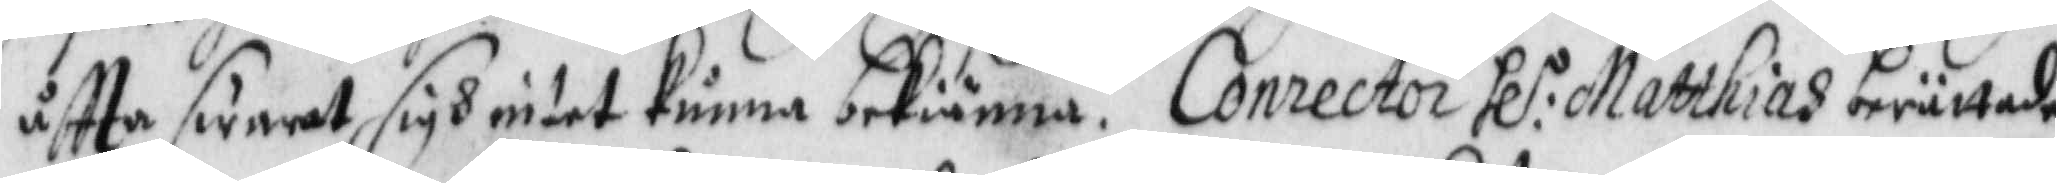åftta swarat sigh intet kunna bekiänna. Corrector Hl:r Matthias berättade
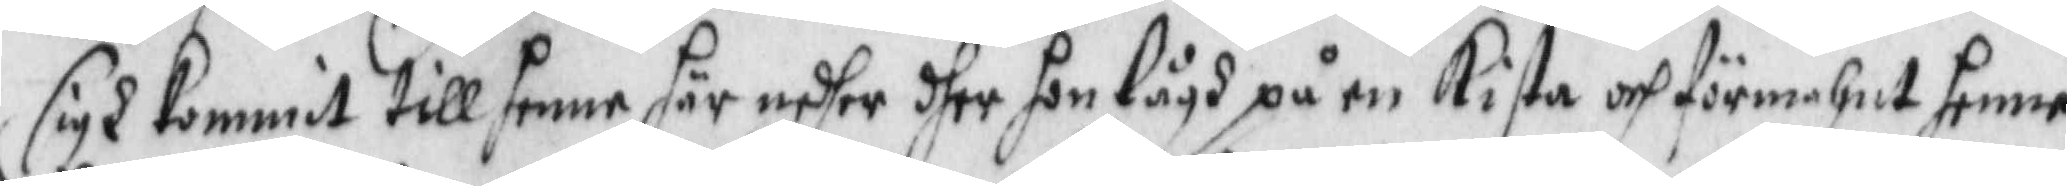sigh kommit till henne här nedher dher hon lågh på en Kista och förmahnt henne
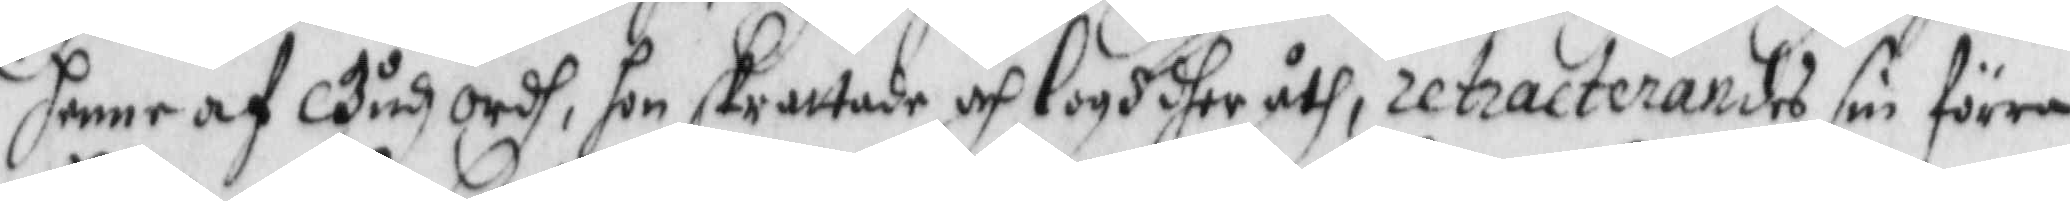henne af Gudz Ordh, hon skrattad och logh dher uth, retracterandes sin förra
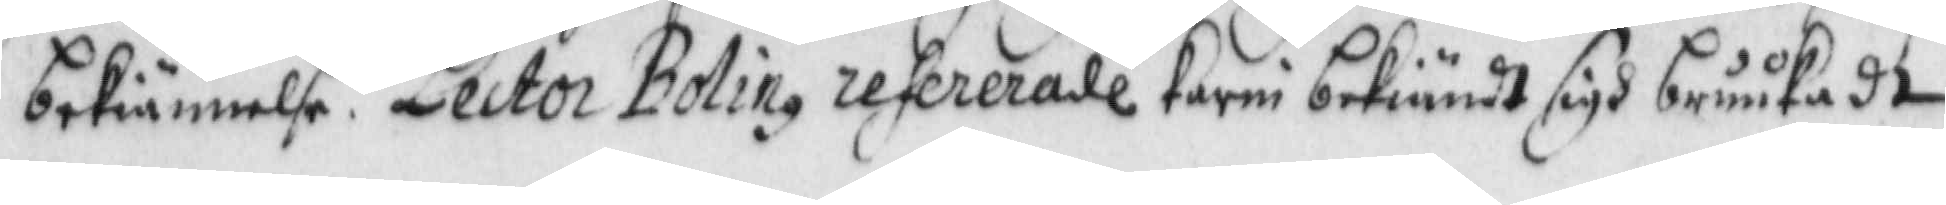bekiännelse. Lectro Bolin refererade Karin bekiändt sigh bruukadt
